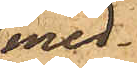med¬
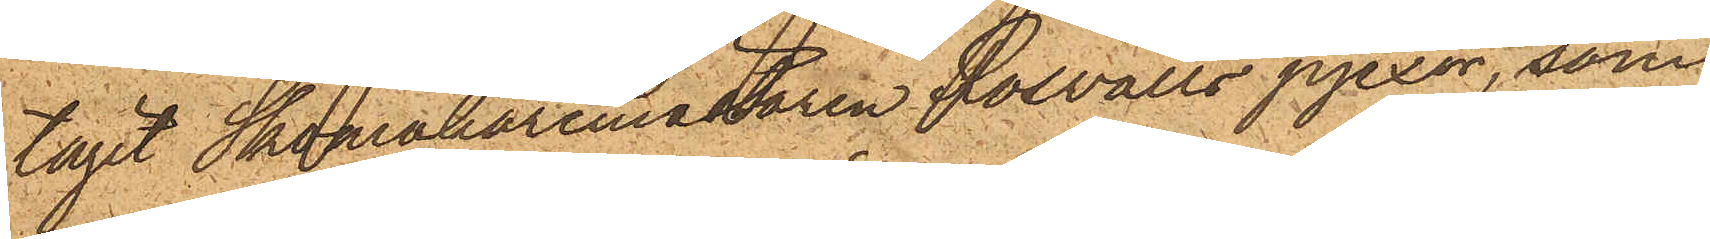tagit Skomakaremästaren Roswalls pjexor, som
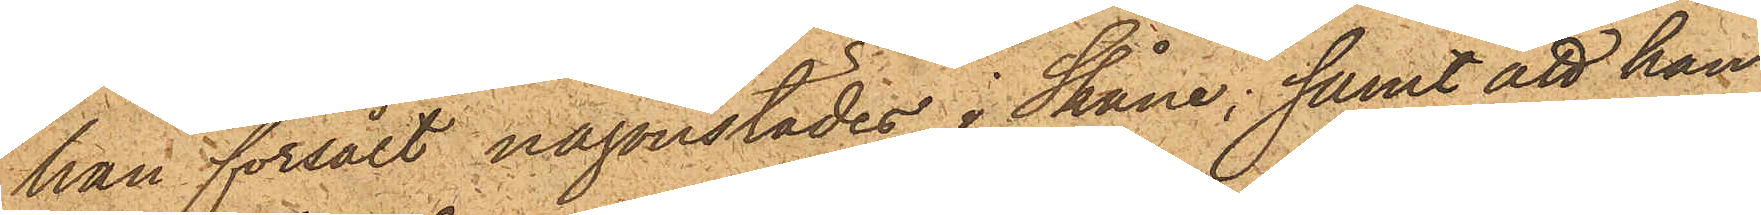han försålt någonstädes i Skåne; samt att han,
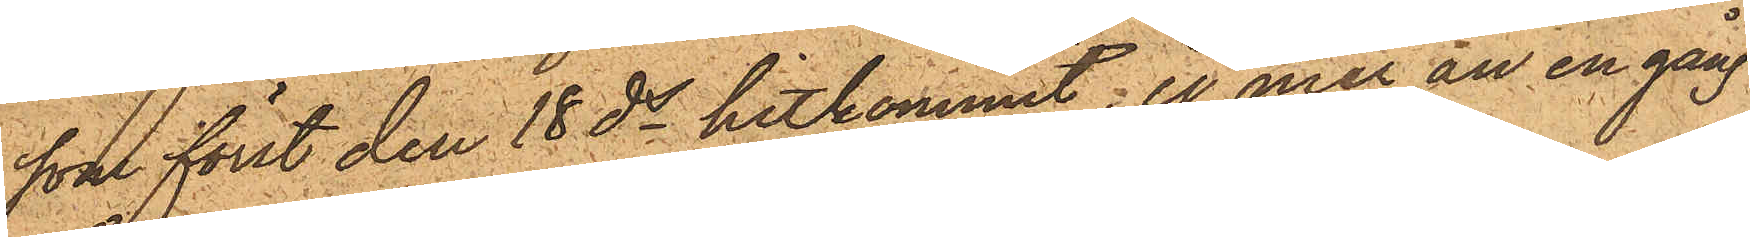som först den 18 ds hitkommit, ej mer än en gång
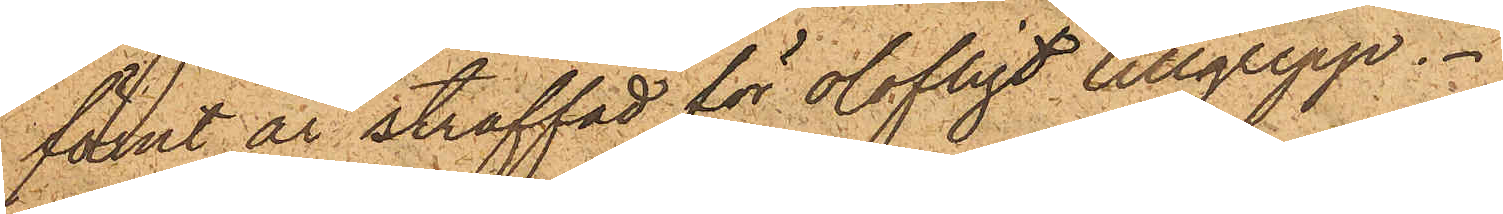förut är straffad för olofligt tillgrepp.
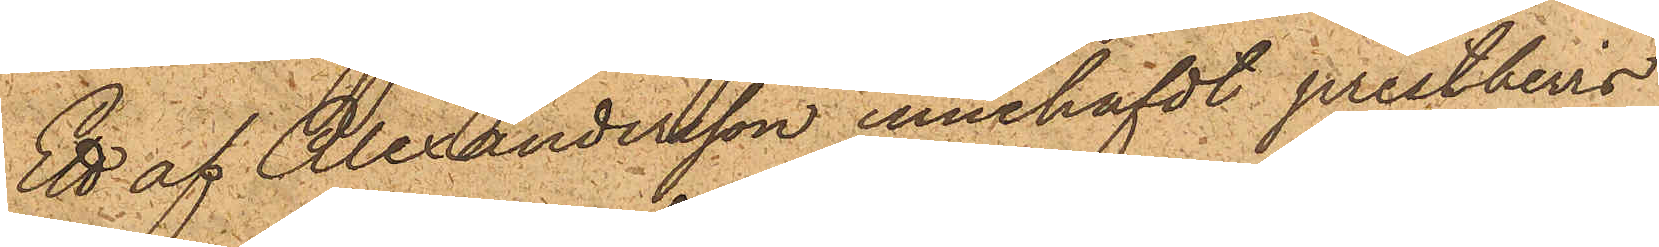Ett af Alexandersson innehafdt prestbevis
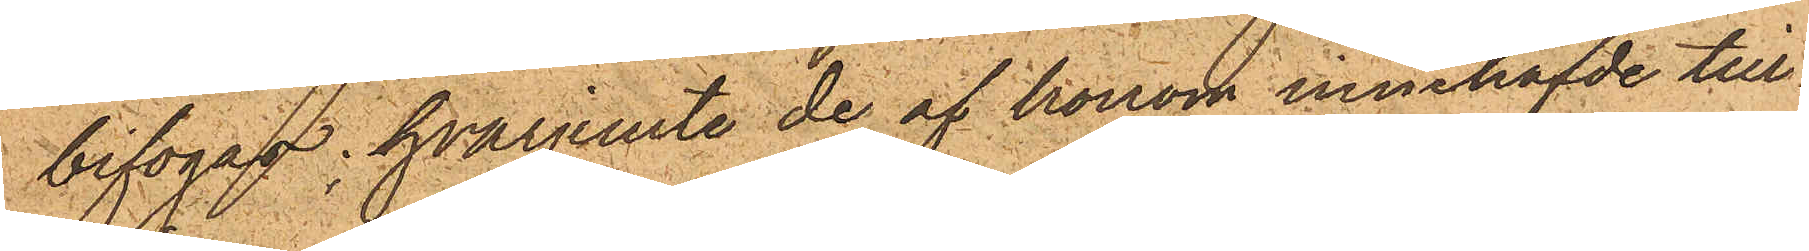bifogas, hvarjemte de af honom innehafde till¬
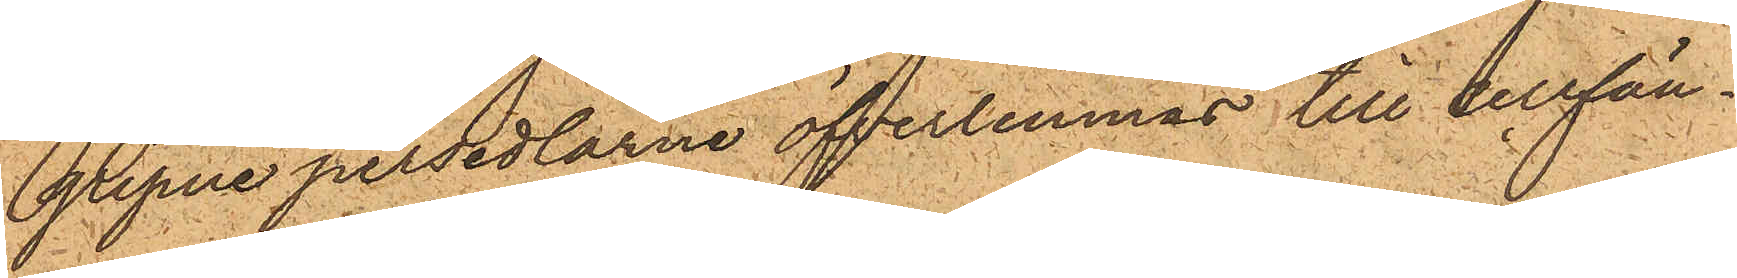gripne persedlarne öfverlemnas till cellfän¬
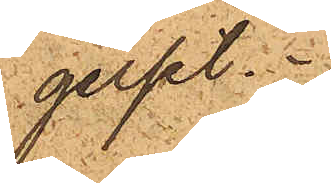gelset.
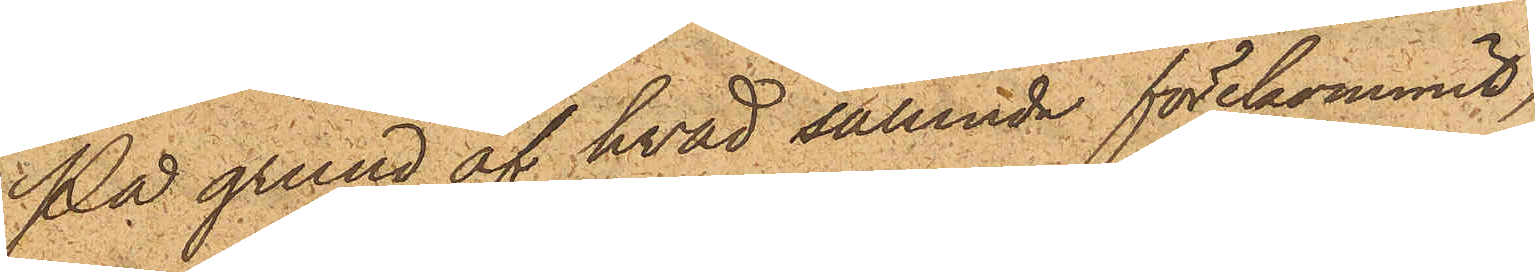På grund af hvad sålunda förekommit,
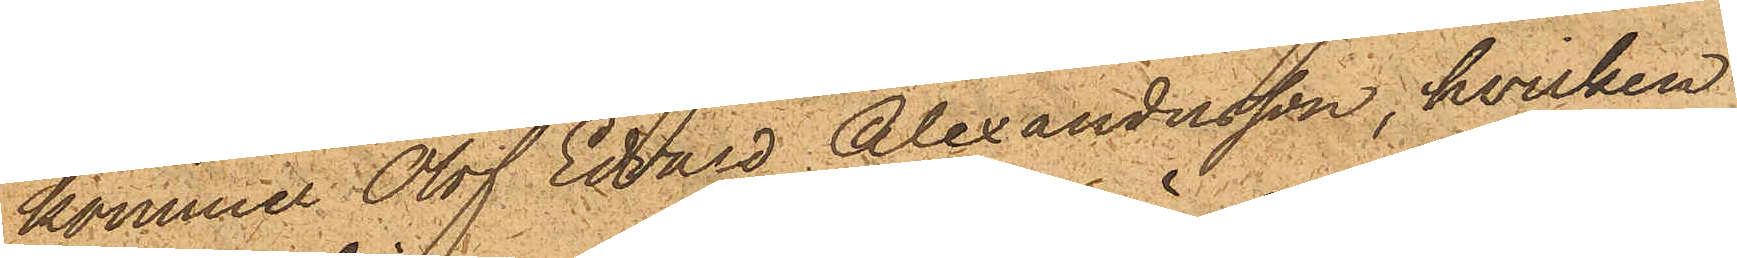kommer Olof Edvard Alexandersson, hvilken
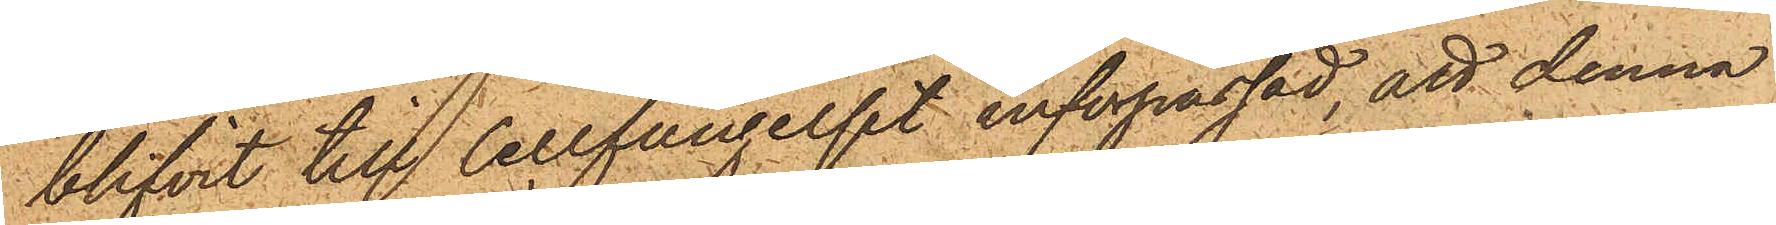blifvit till Cellfängelset införpassad,att denna
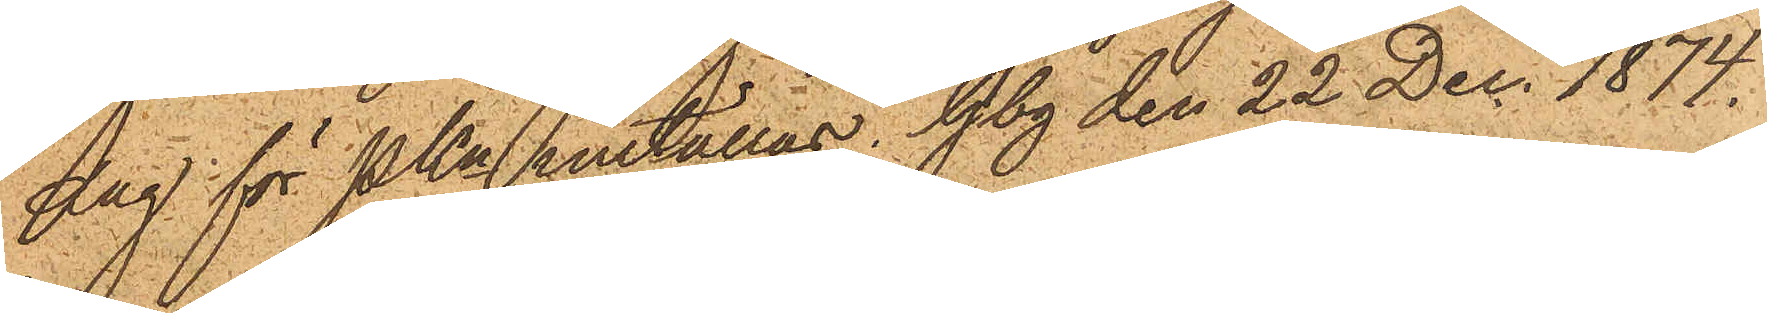dag för PKn inställas. Gbg den 22 Dec. 1874.
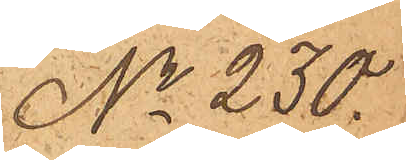No 230.
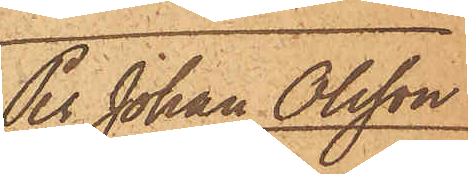Per Johan Olsson
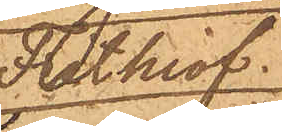Frithiof
